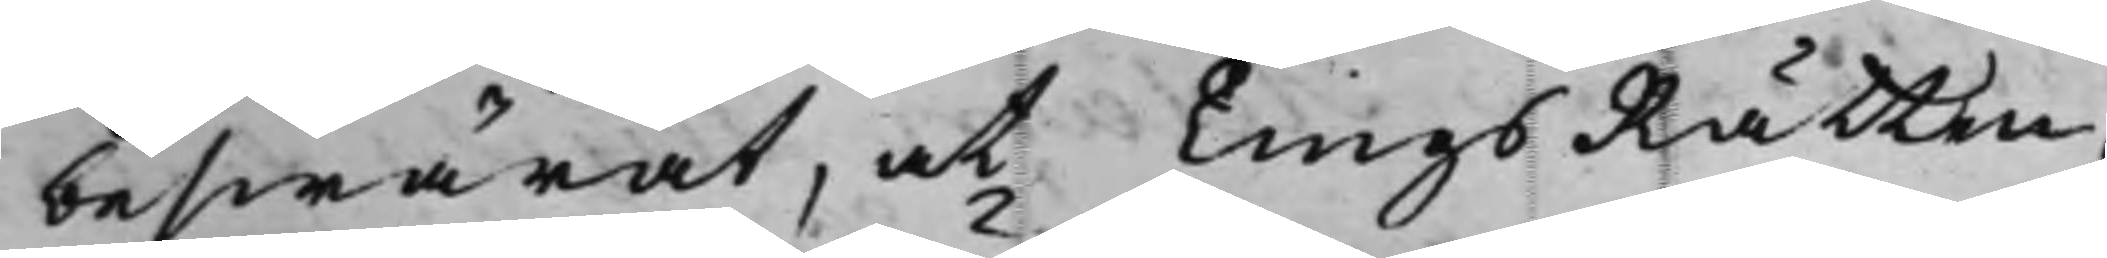beswärat, at TingsRätten
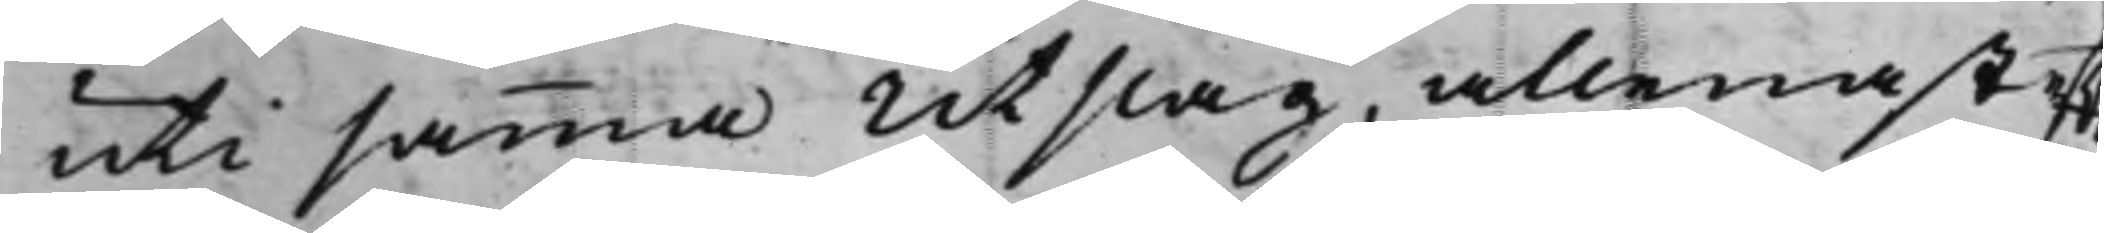uti samma Utslag, allenast eft.
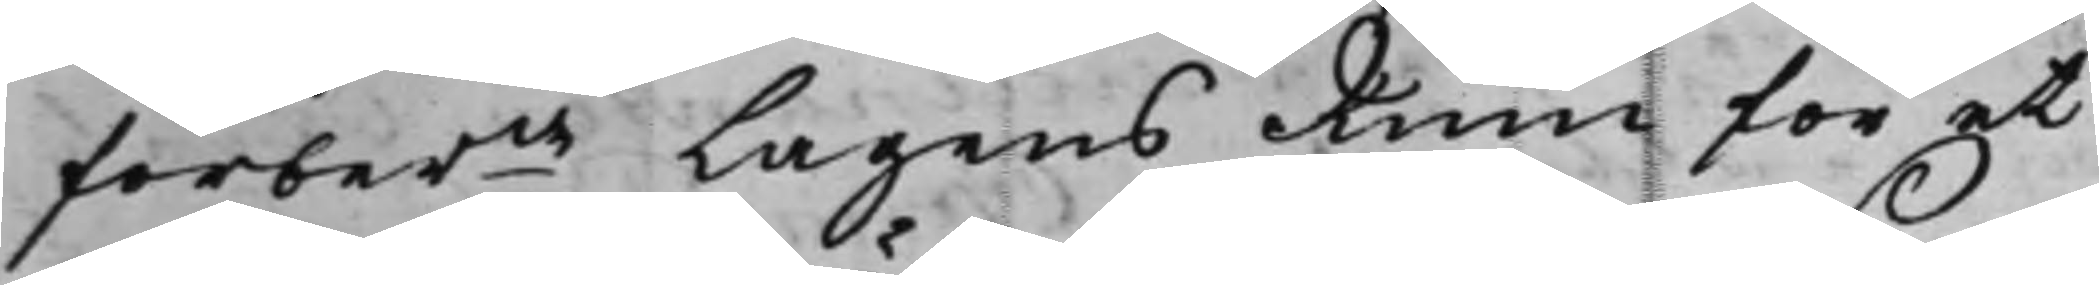förberde Lagens Rum för et
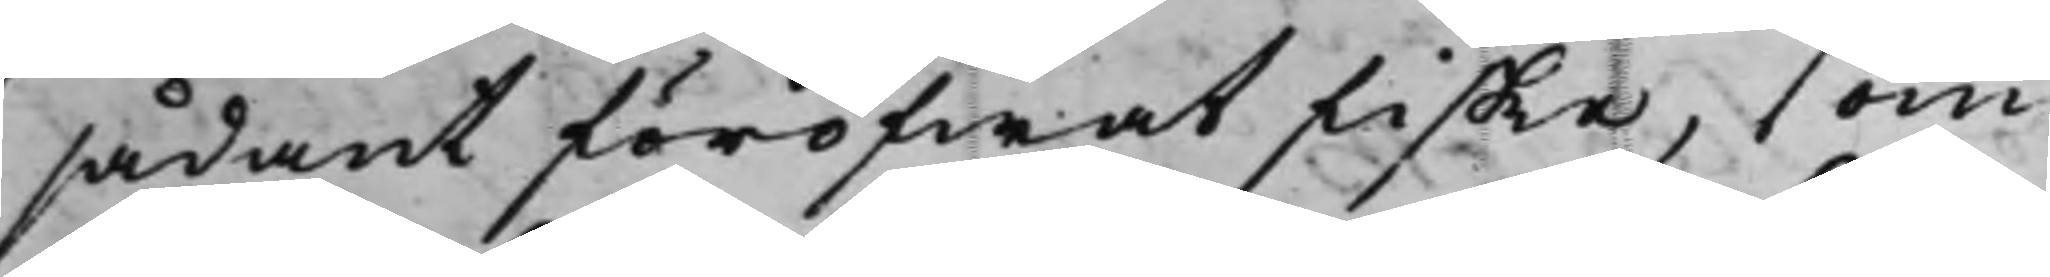sådant föröfwat fiske, som
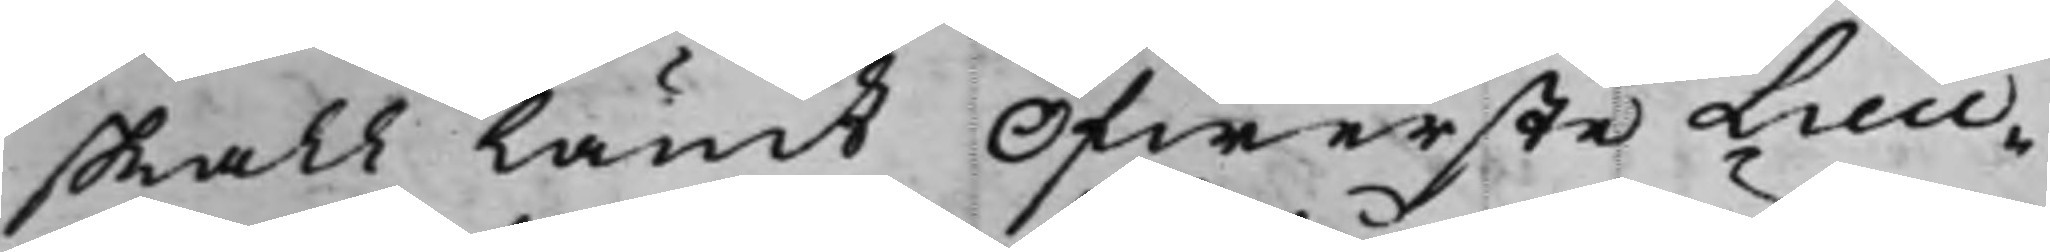skall ländt Öfwerste Lieu¬
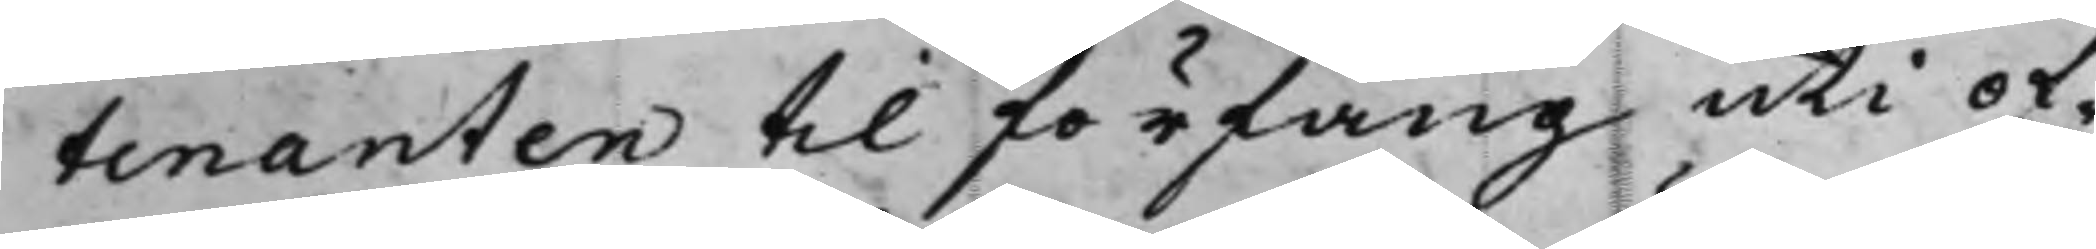tenanten til förfång uti of¬
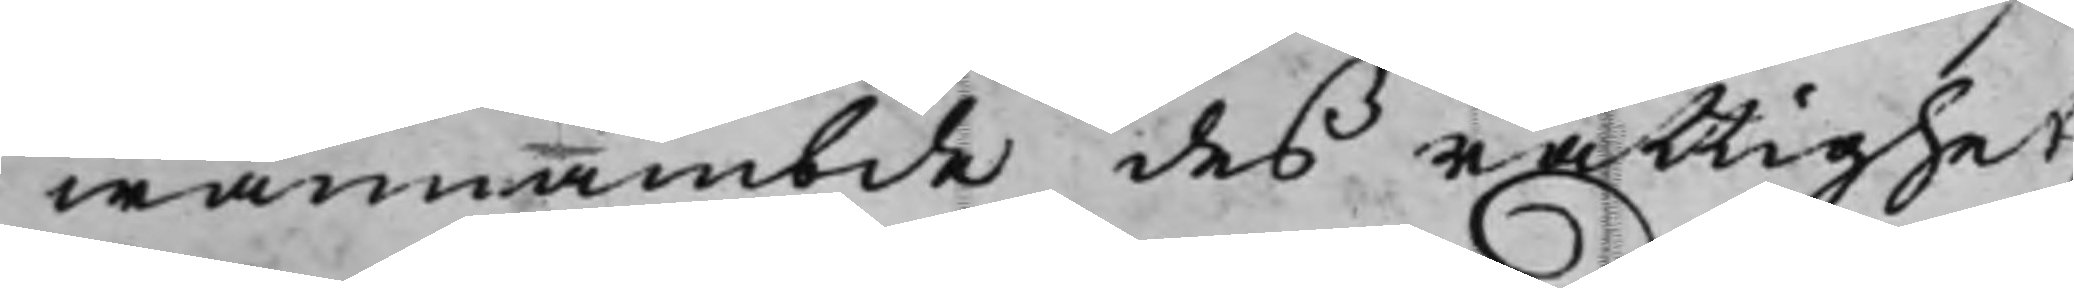wannämbde des rättighet,
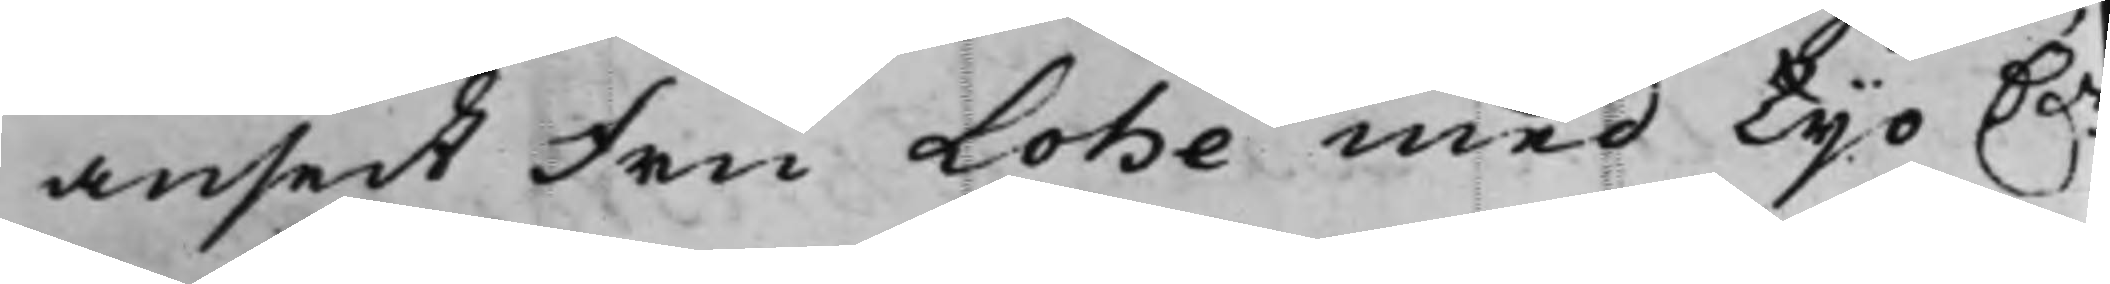ansedt Fru Lohe med Tijo D.r
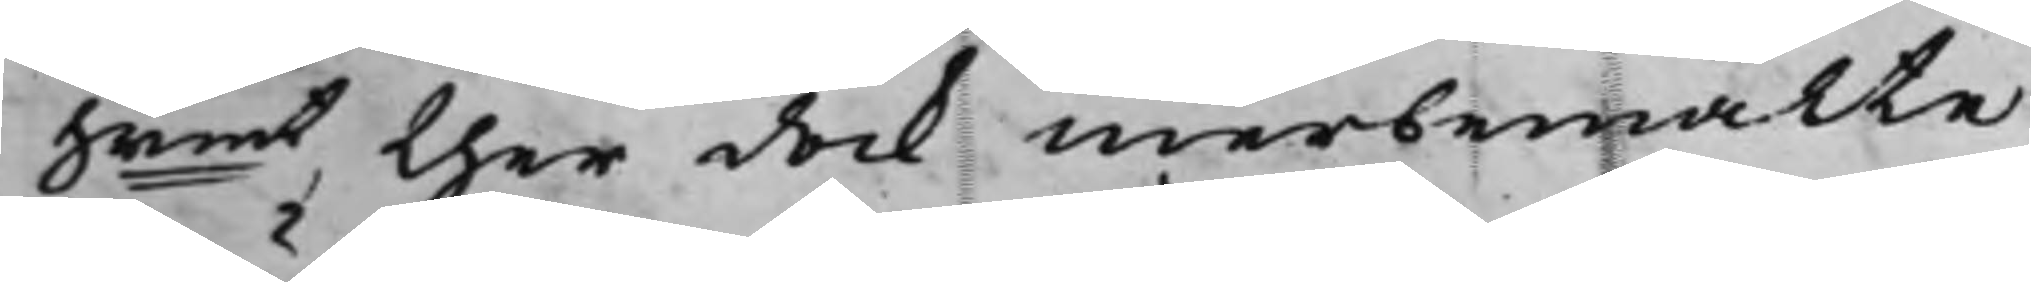Srmt, ther dock merbemälte
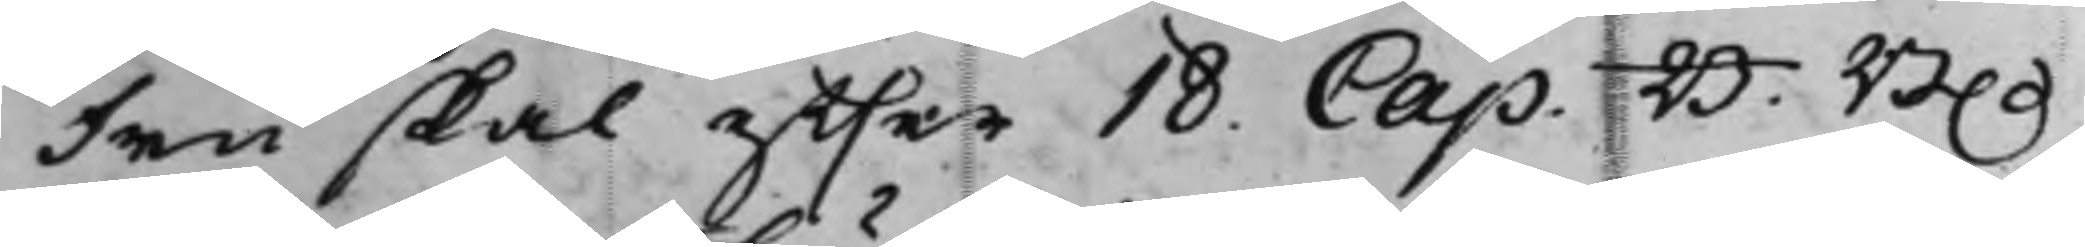Fru skal effter 18. Cap. B. B.
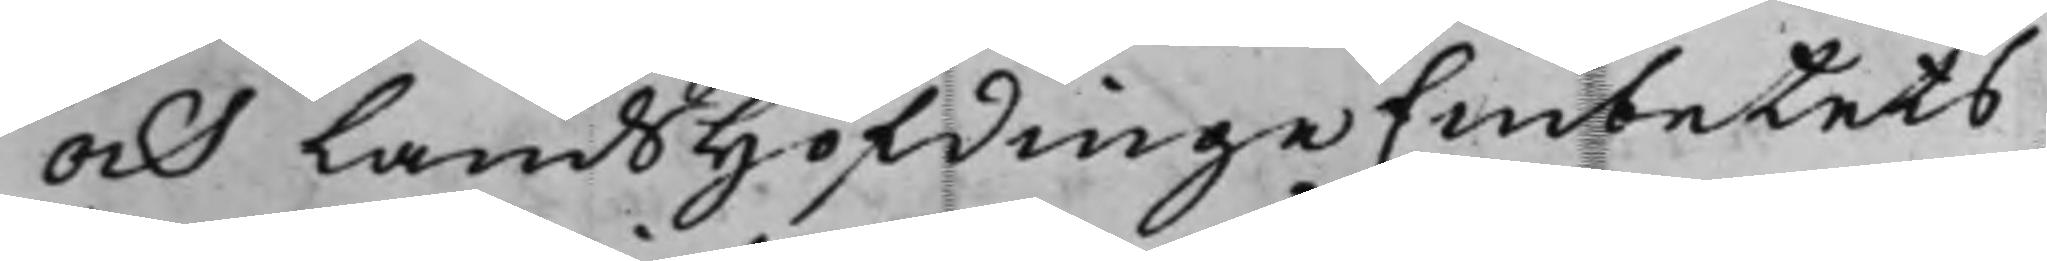och LandsHöfdingeEmbetets
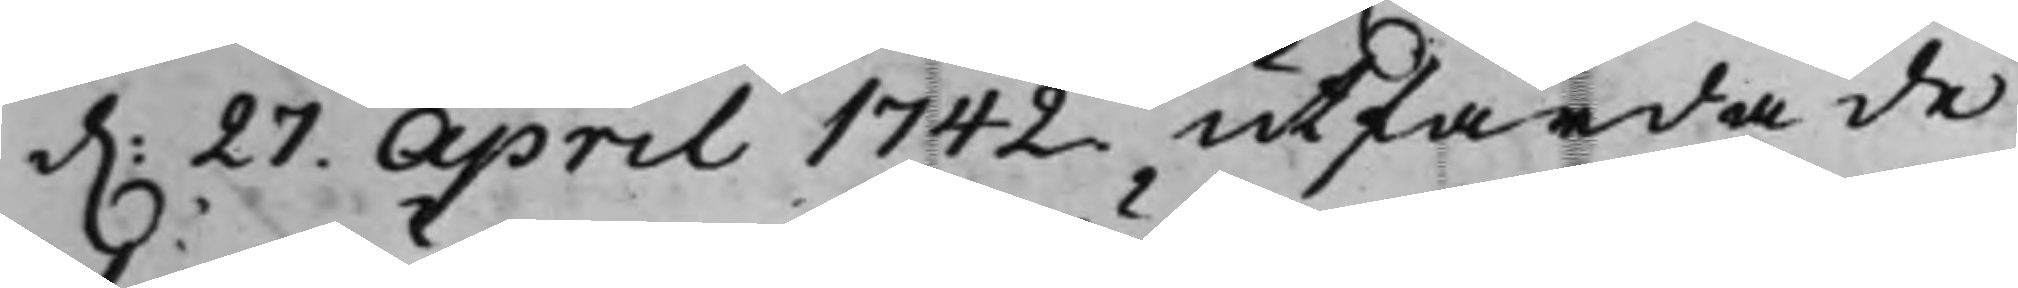d. 27. April 1742 utfärdade
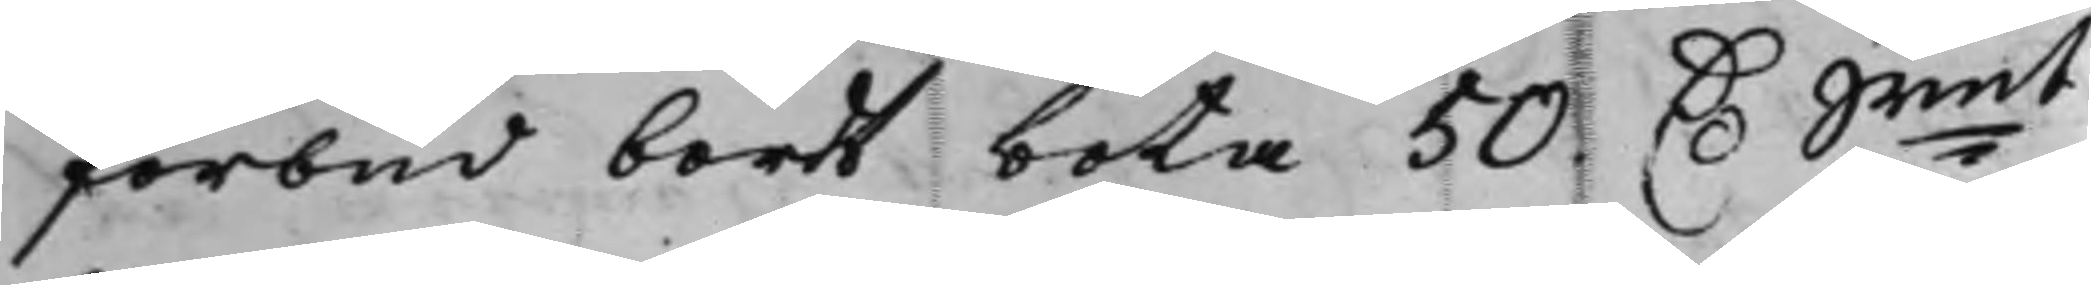förbud bordt böta 50 D. Srmt
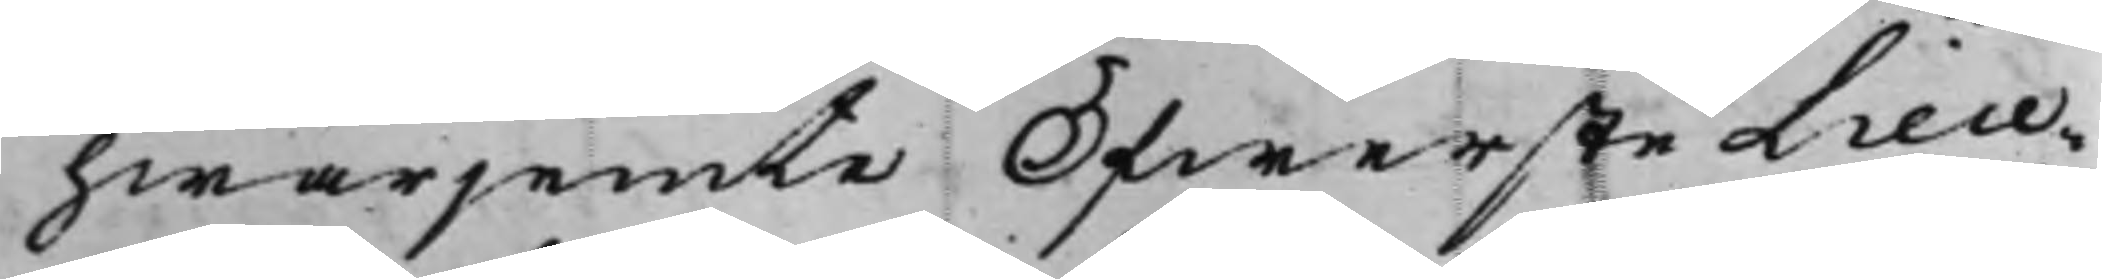hwarjemte Öfwerste Lieu¬
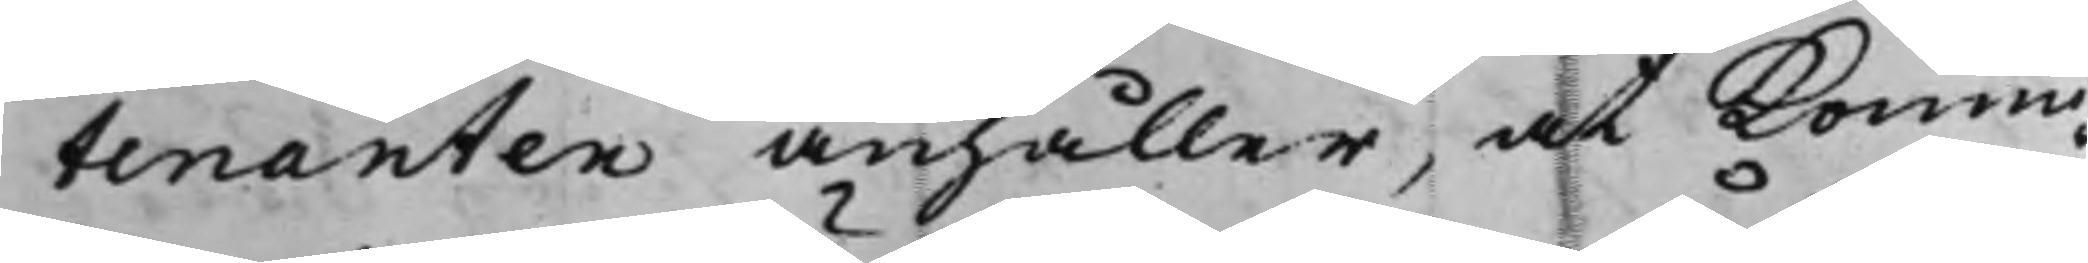tenanten anhåller, at Konun¬
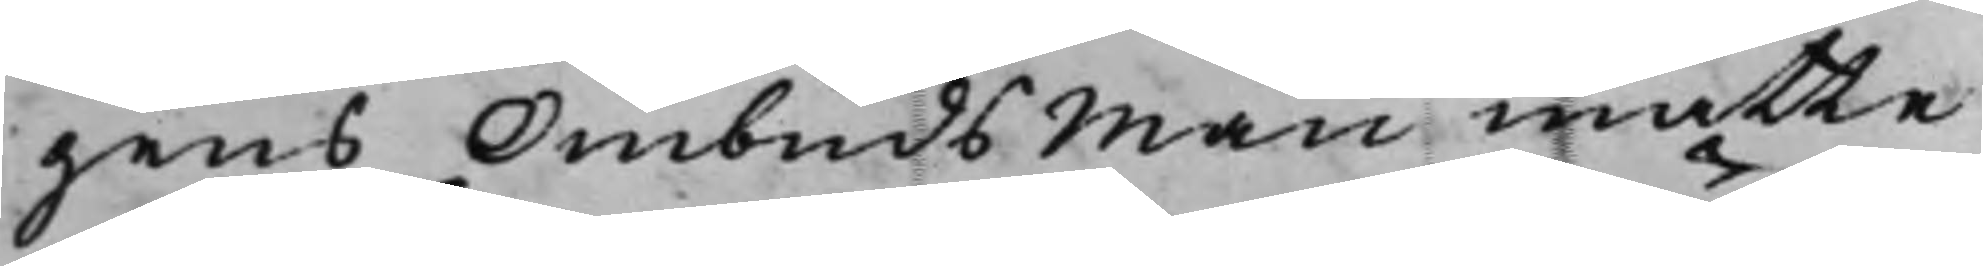gens Ombudsman måtte
